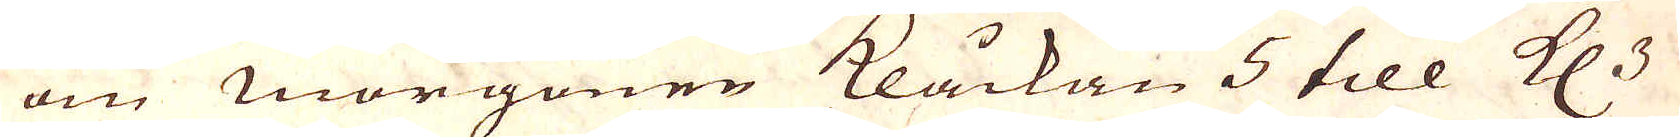om morgonen Klåckan 5 till Kl. 3
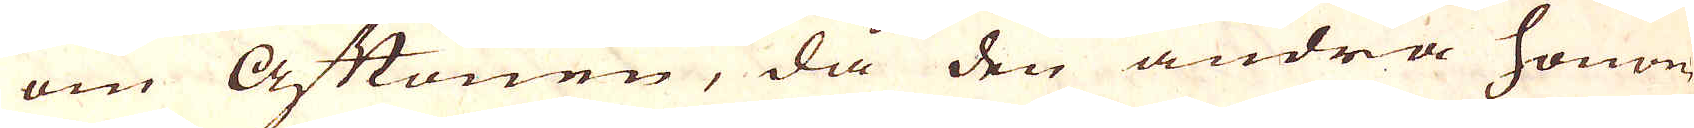om Aftonen, då den andra honom
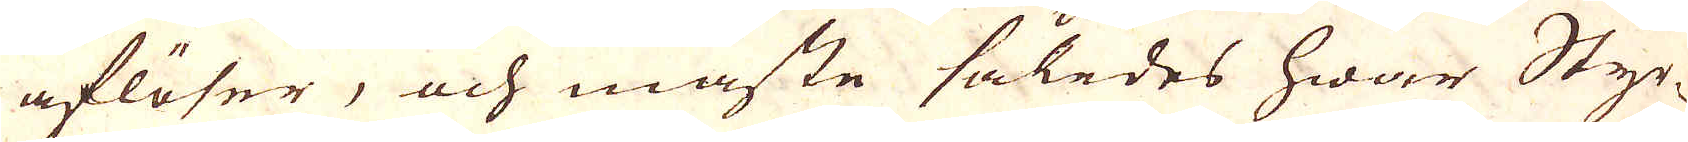aflöser, och måste således hwar Styr-
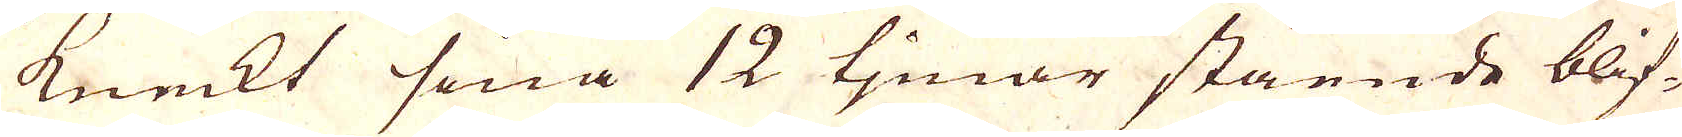kneckt sina 12 timar stående blif-
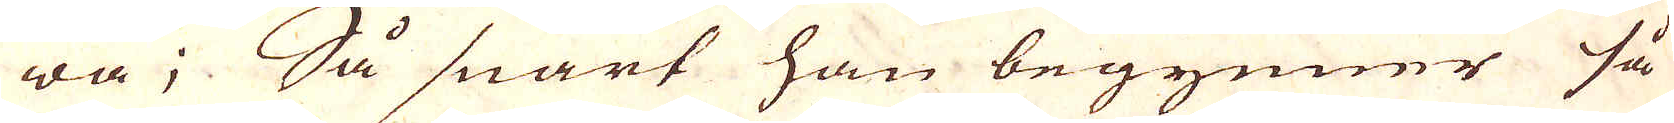wa; Så snart han begynner så
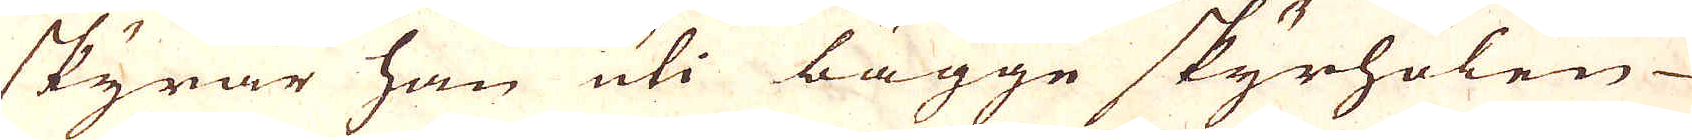skyrar han uti bägge skyrholen
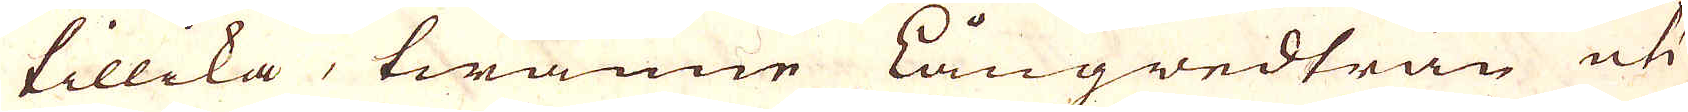tillika, twänne Långwedträn uti
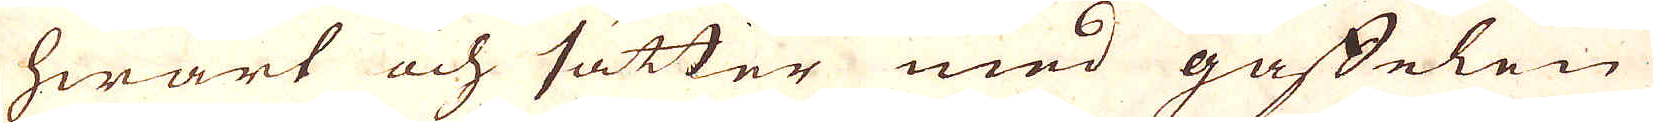hwart och sätter med gaffelen
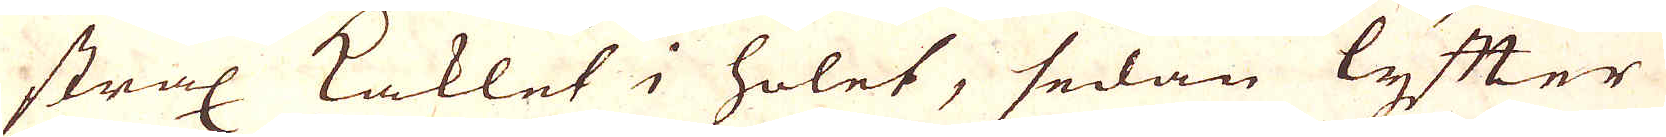strax Kaklet i holet, sedan lyfter
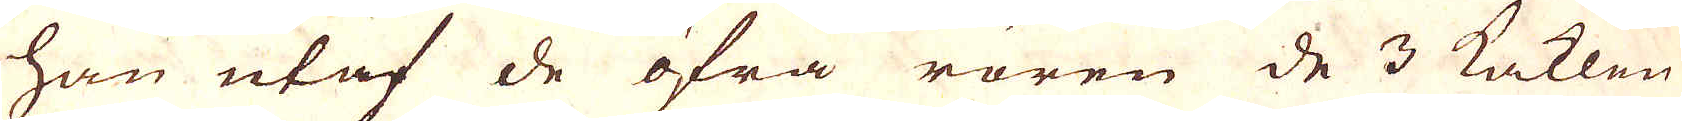han utaf de öfra rören de 3 Kaklen
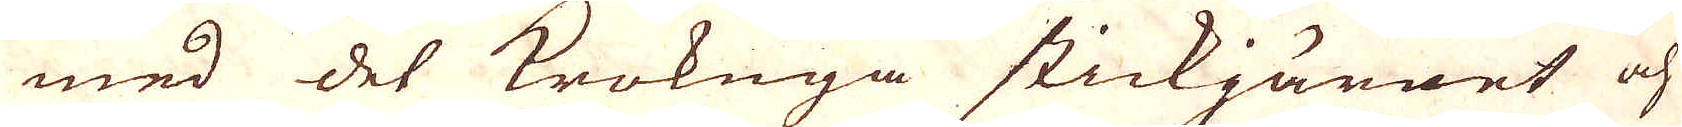med det Krokuga stickjärnet och
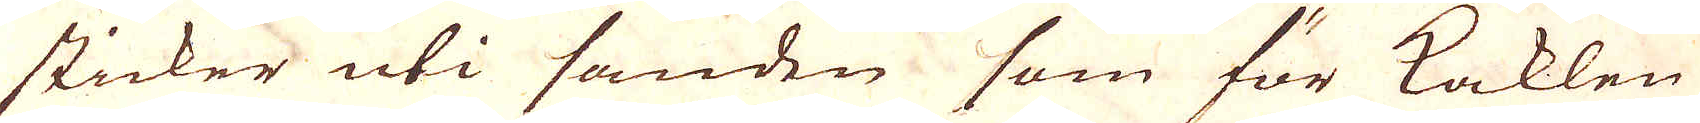sticker uti sanden som för Kaklen
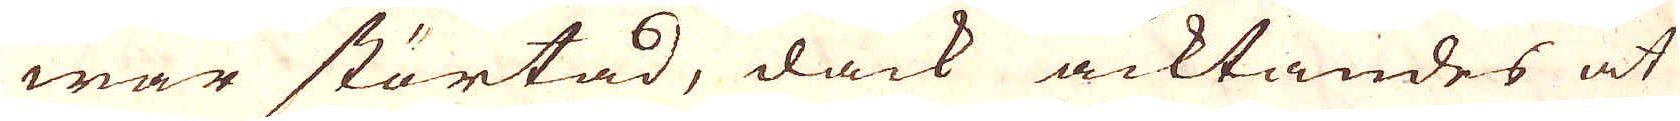war störtad, dåck acktandes at
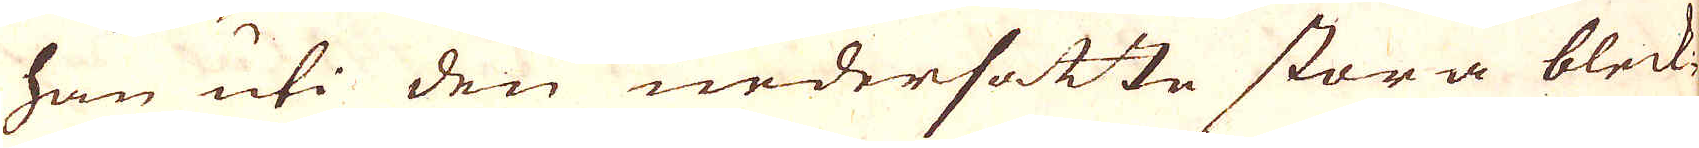han uti den nedersatte stora bleck-
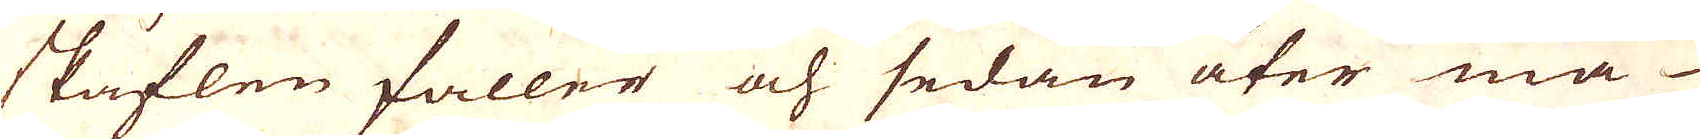skåflen faller och sedan åter må
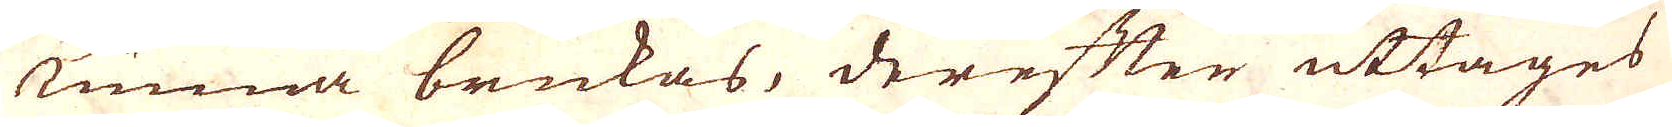kunna brukas, derefter uttages
